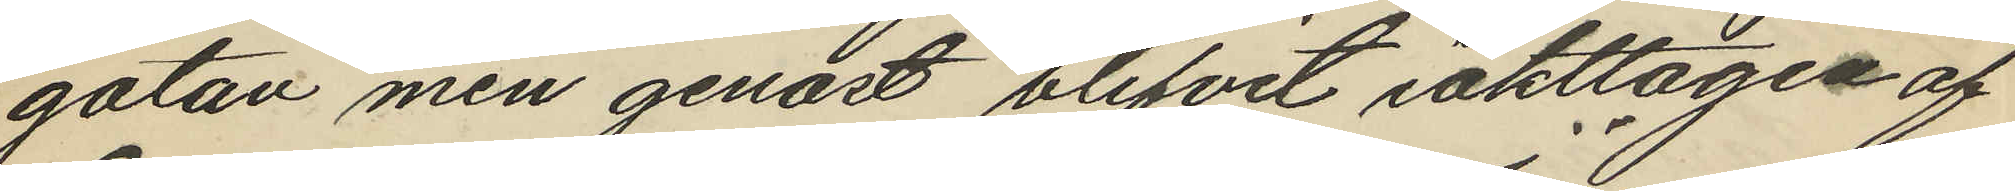gatan men genast blifvit iakttagen af
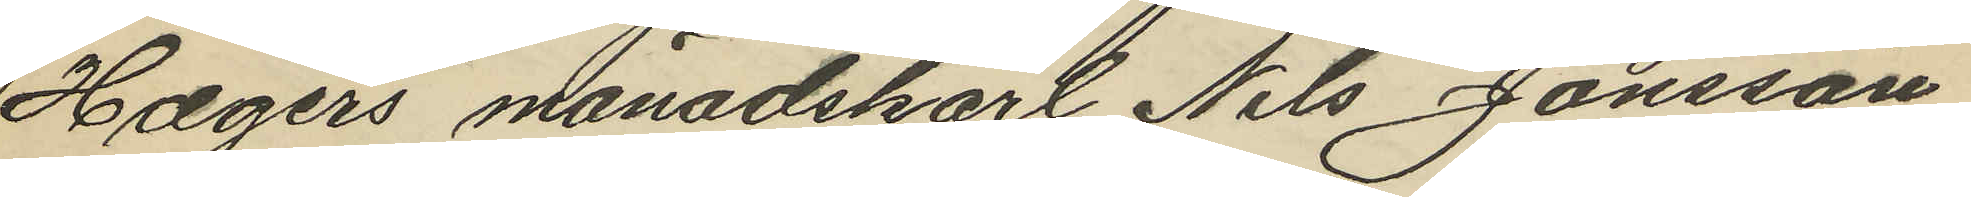Hægers månadskarl Nils Jönsson
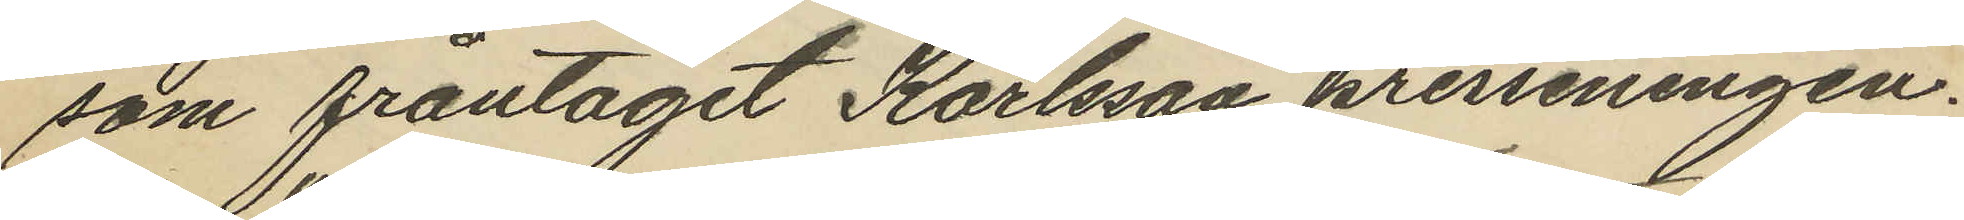som fråntagit Karlsson presseningen.
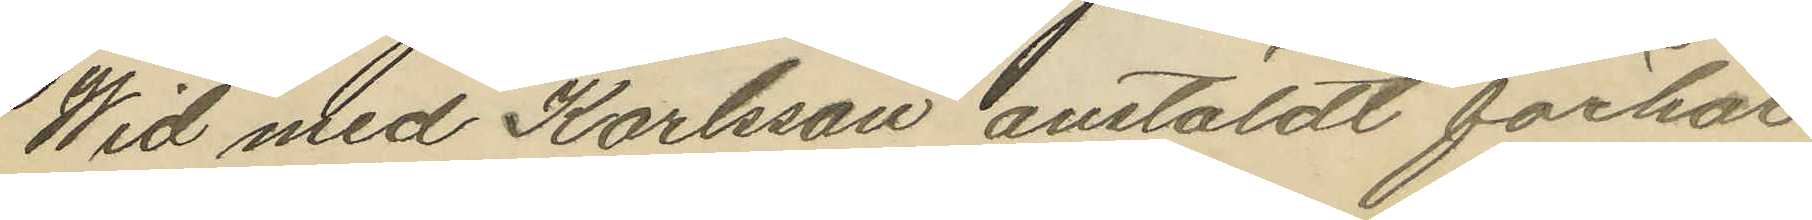Wid med Karlsson anstäldt förhör
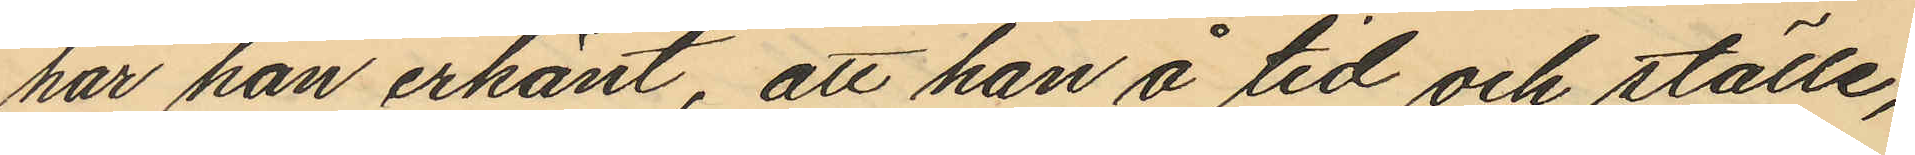har han erkänt, att han å tid och ställe,
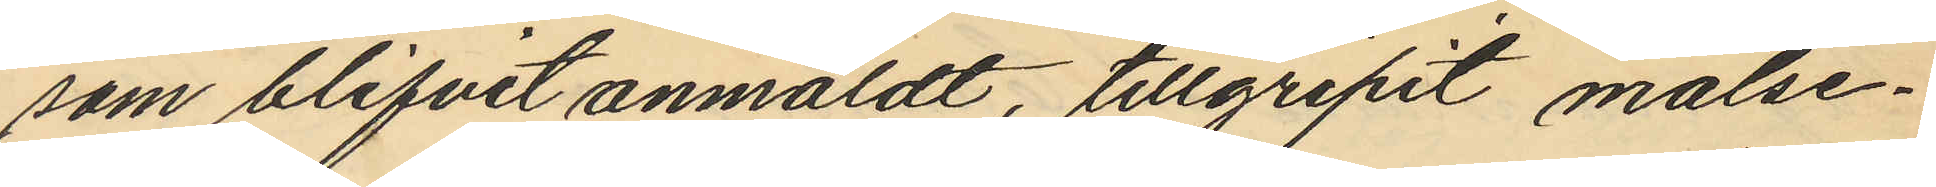som blifvit anmäldt, tillgripit målse¬
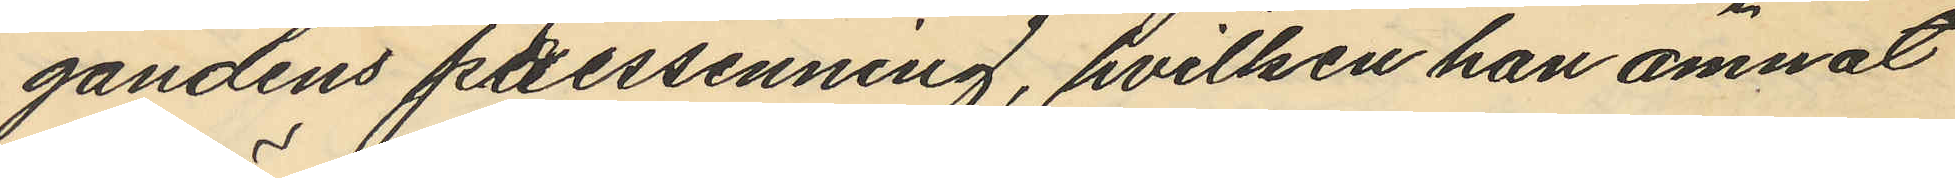gandens pressenning, hvilken han ämnat
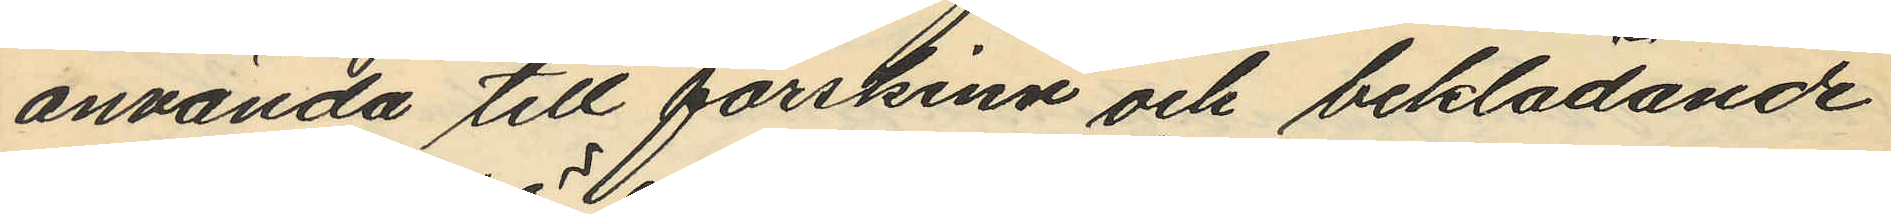använda till pörskinn och beklädande
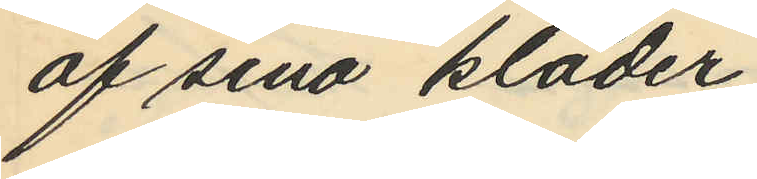af sina kläder.
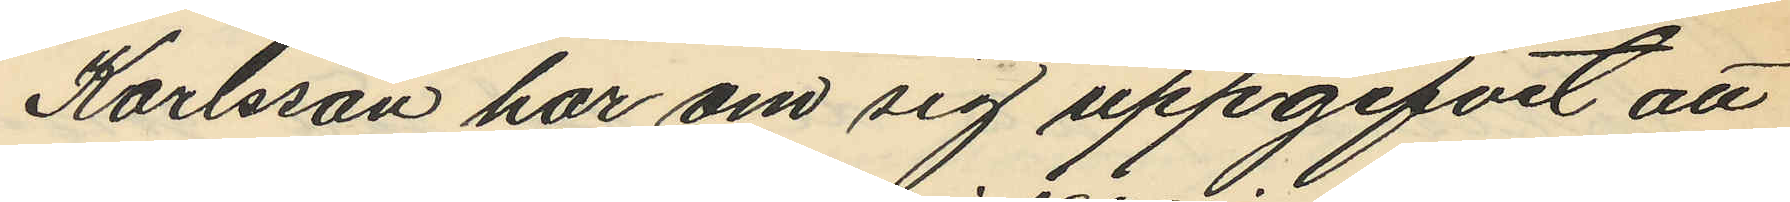Karlsson har om sig uppgifvit att
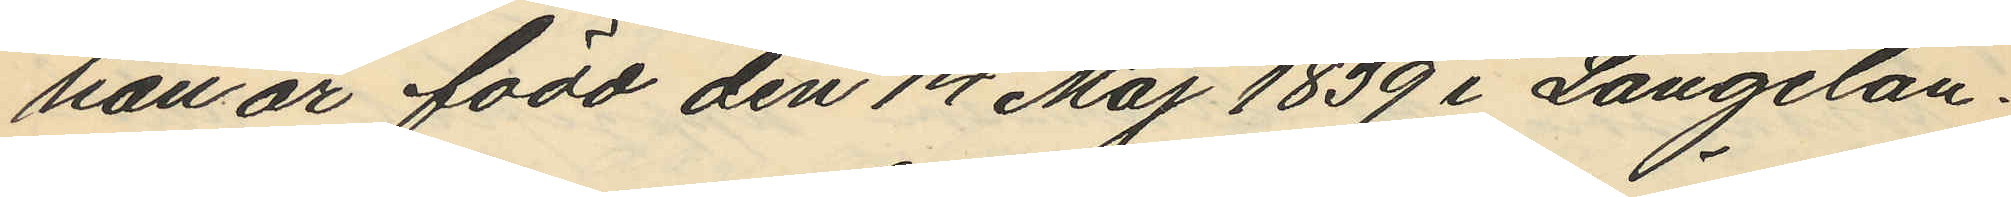han är född den 14 Maj 1839 i Långelan¬
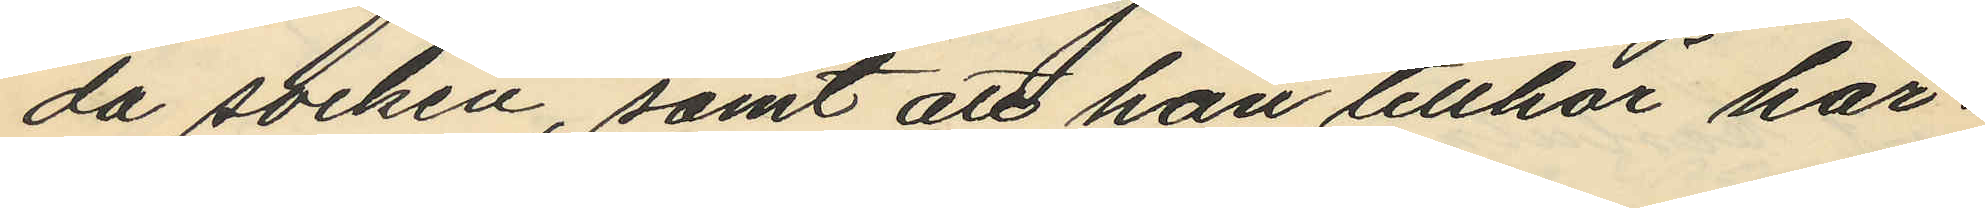da socken, samt att han tillhör här¬
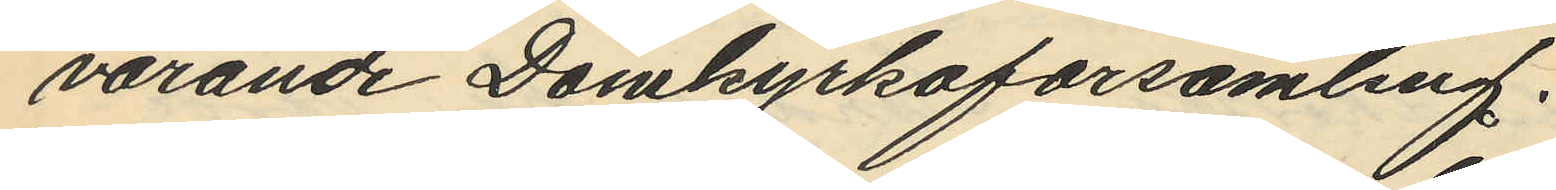varande Domkyrkoförsamling.
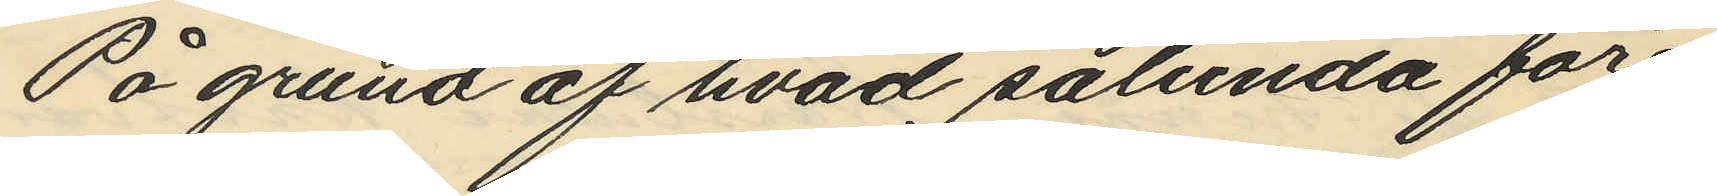På grund af hvad sålunda före¬
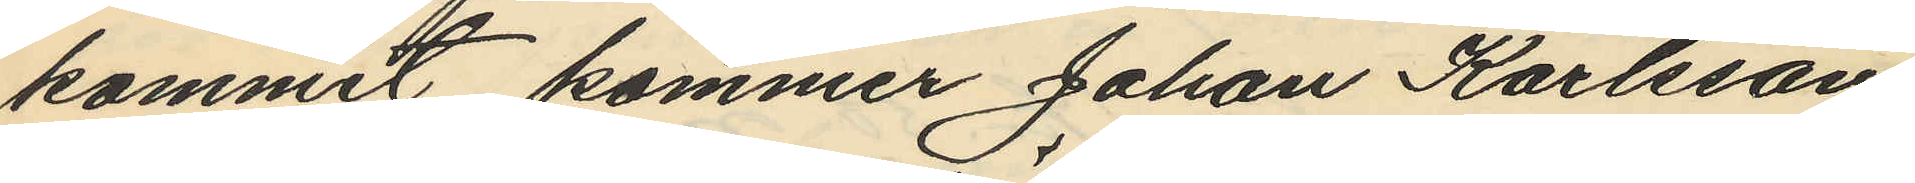kommit kommer Johan Karlsson
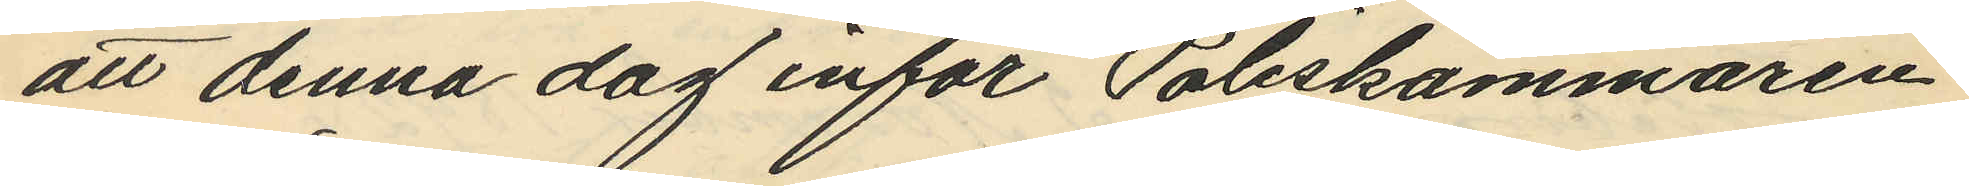att denna dag inför Poliskammaren
